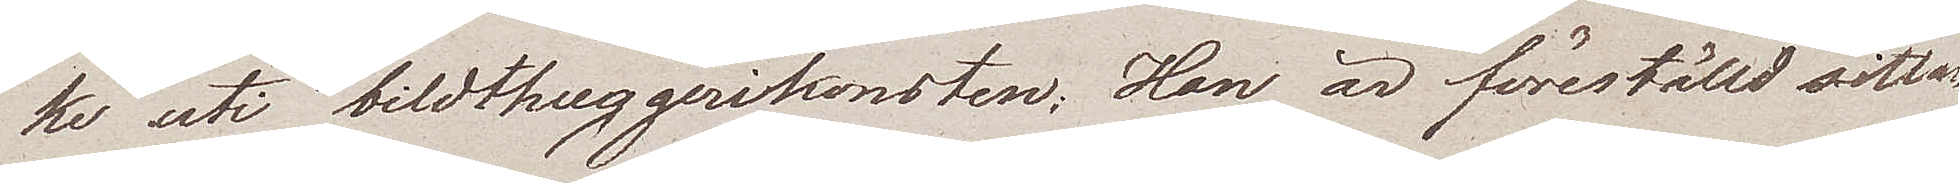ke uti bildhuggerikonsten. Han är föreställd sittan¬
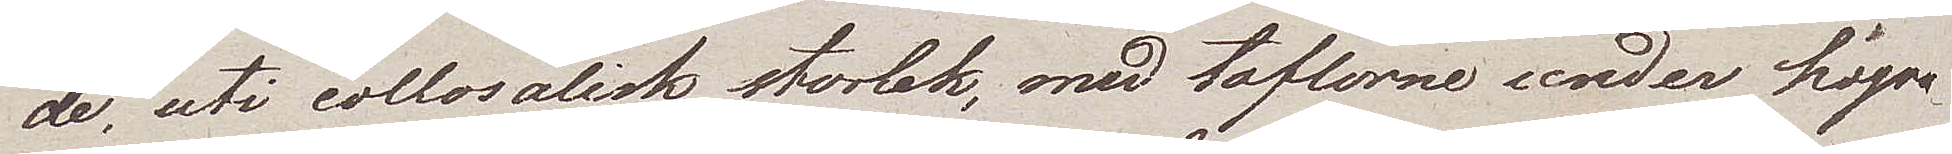de, uti collosalisk storlek, med taflorne under högra
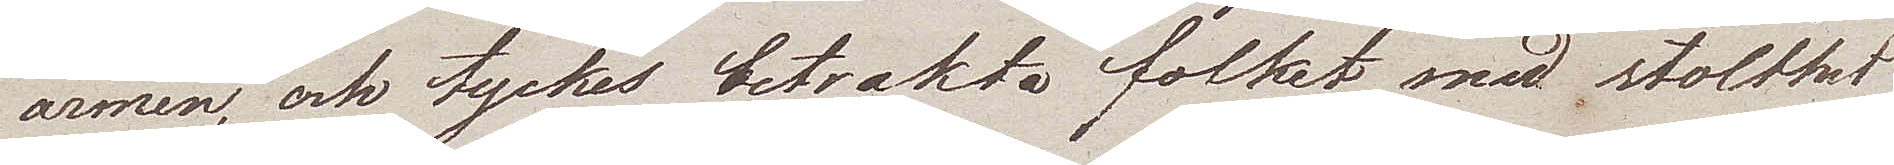armen, och tyckes betrakta folket med stolthet
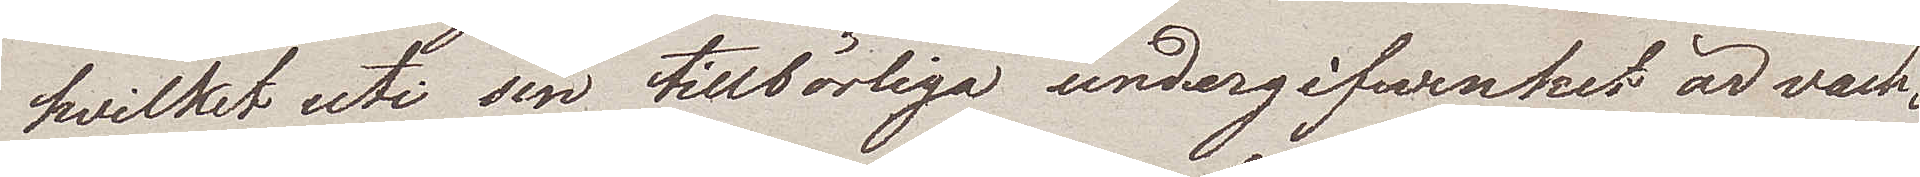hvilket uti sin tillbörliga undergifvenhet är vack¬
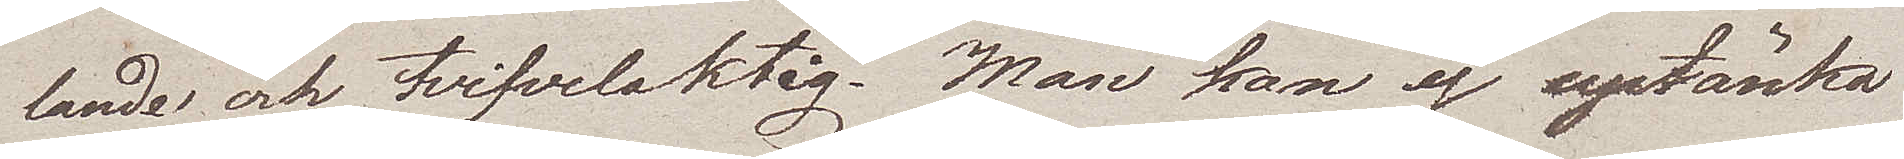lande och tvifvelaktig. Man kan ej uptänka
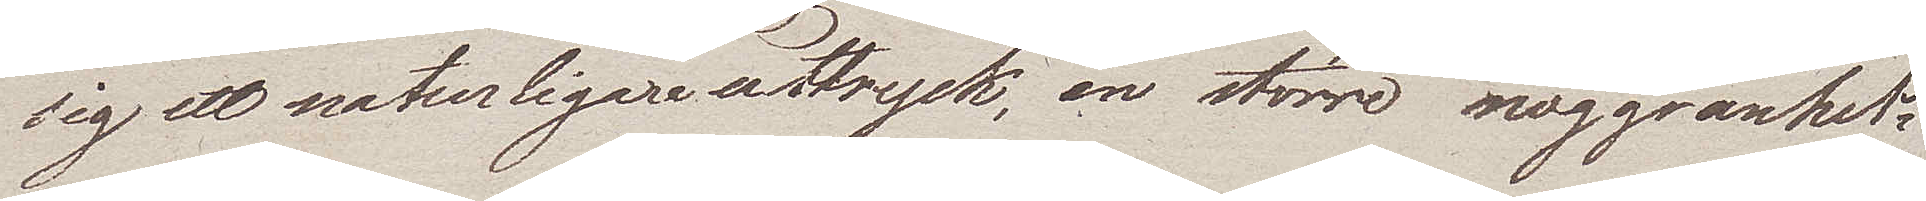sig ett naturligare uttryck, en större noggranhet:
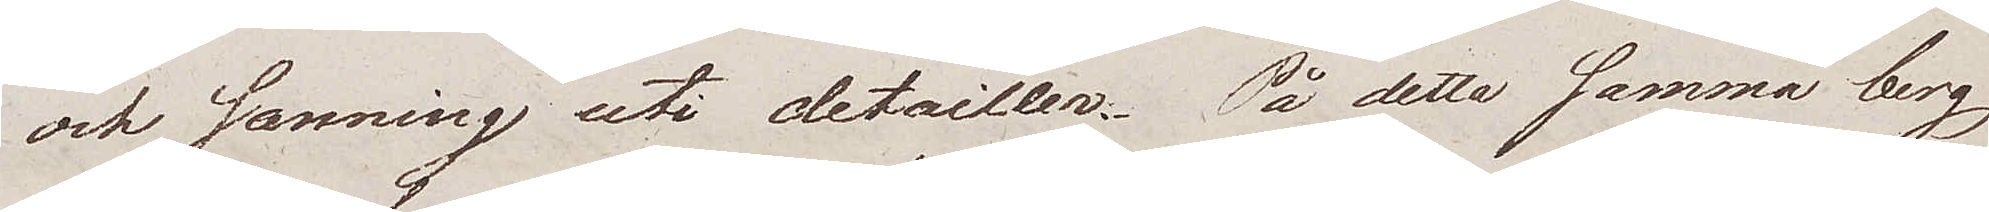och sanning uti detailler. På detta samma berg
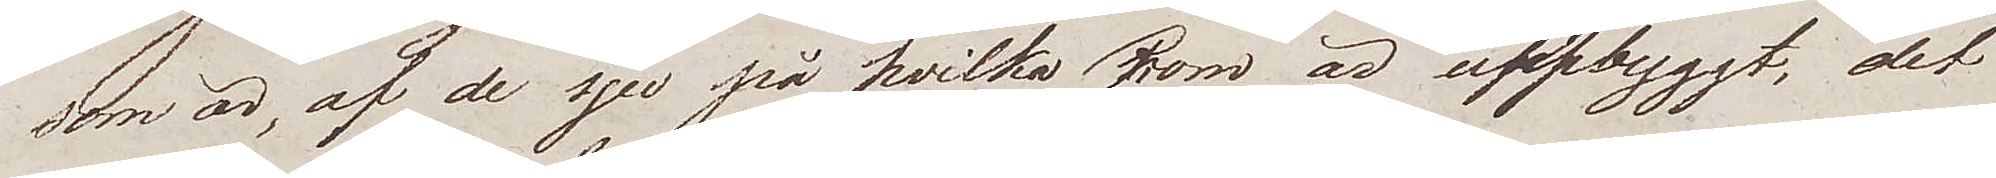som är, af de sju på hvilka Rom är uppbyggt, det
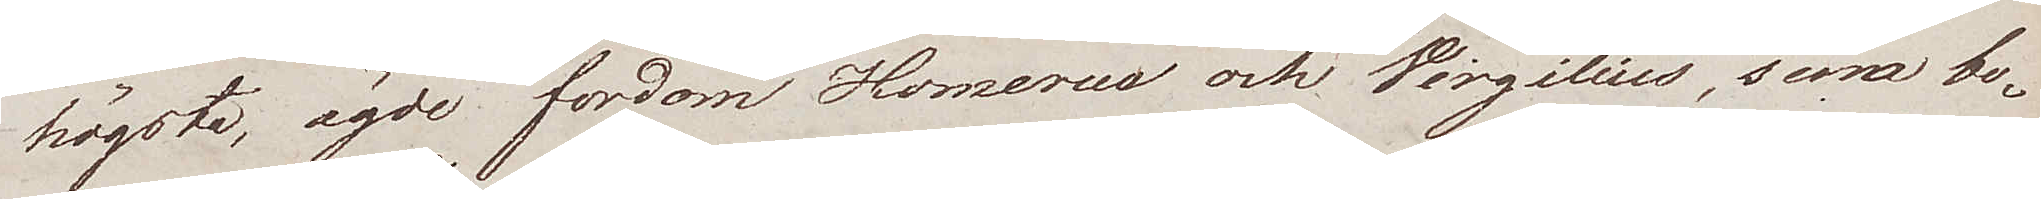högsta, ägde fordom Homerus och Virgilius, sina bo¬
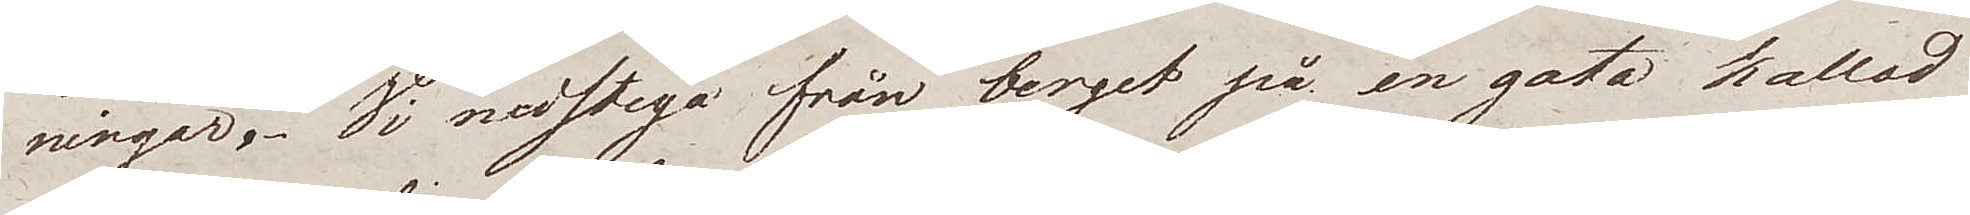ningar. Vi nedstego från berget på en gata kallad
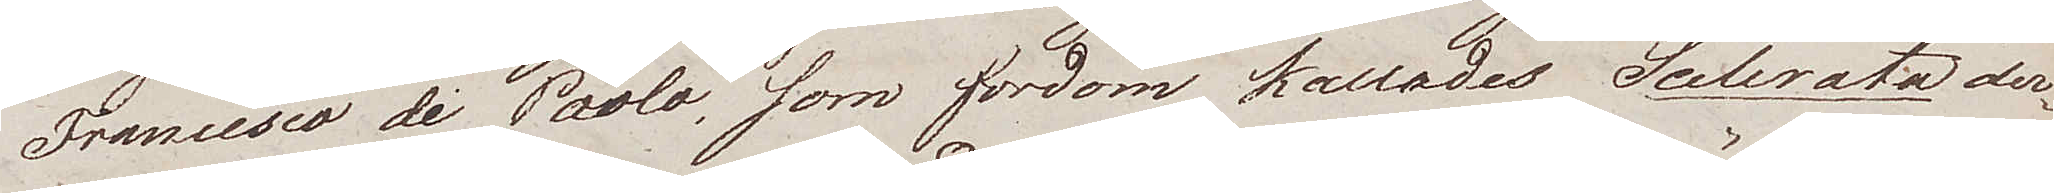Francesco di Paolo, som fordom kallades Scelerata der¬
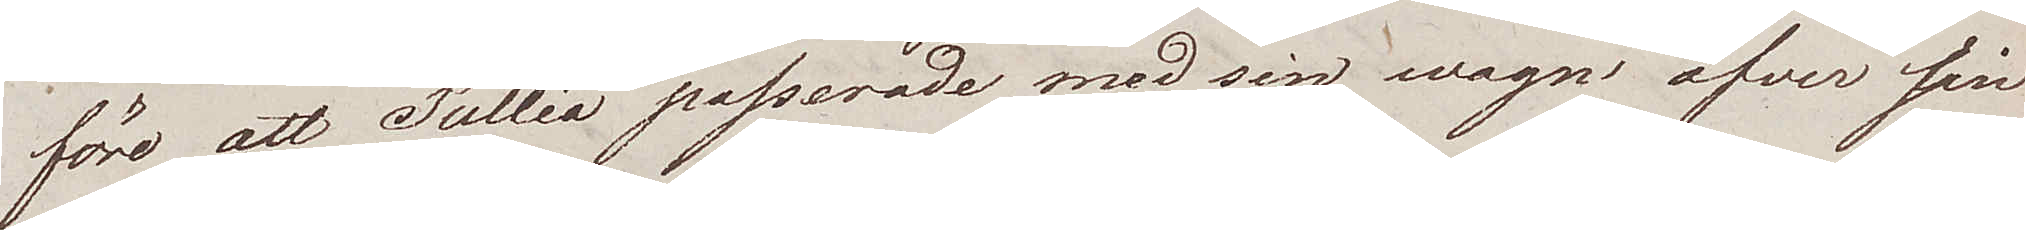före att Tullia passerade med sin wagn öfver sin
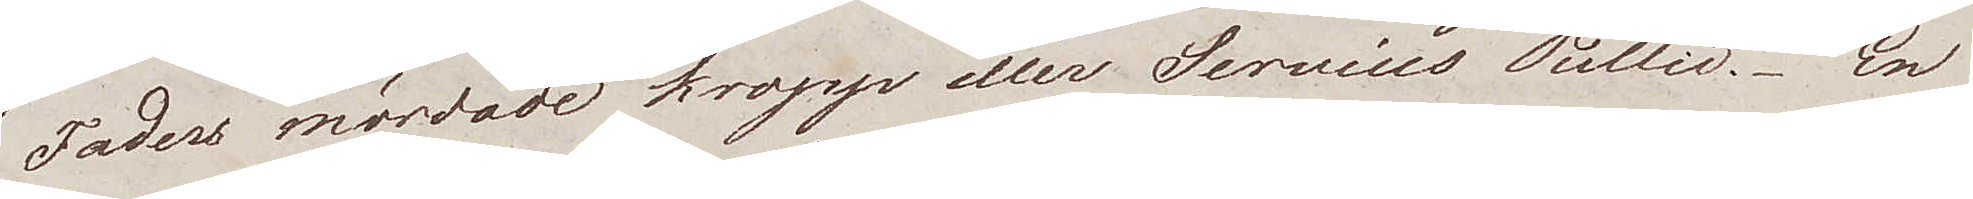Faders mördade kropp eller Servius Tullii. En
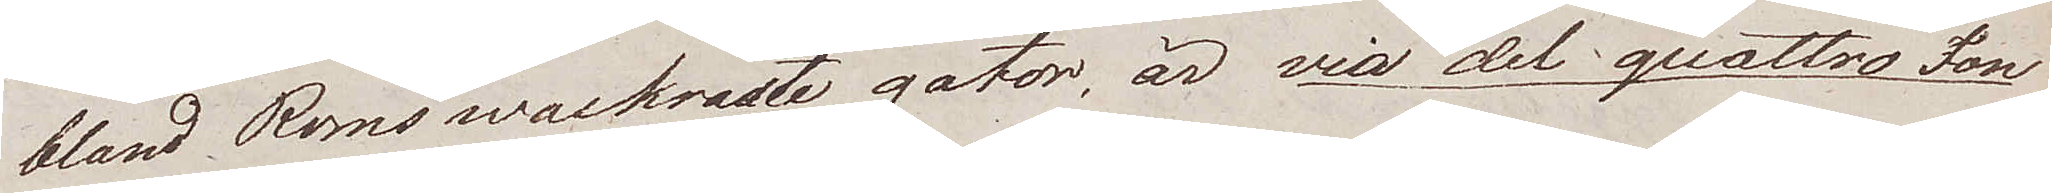bland Roms wackraste gator, är via del quattra Fon¬
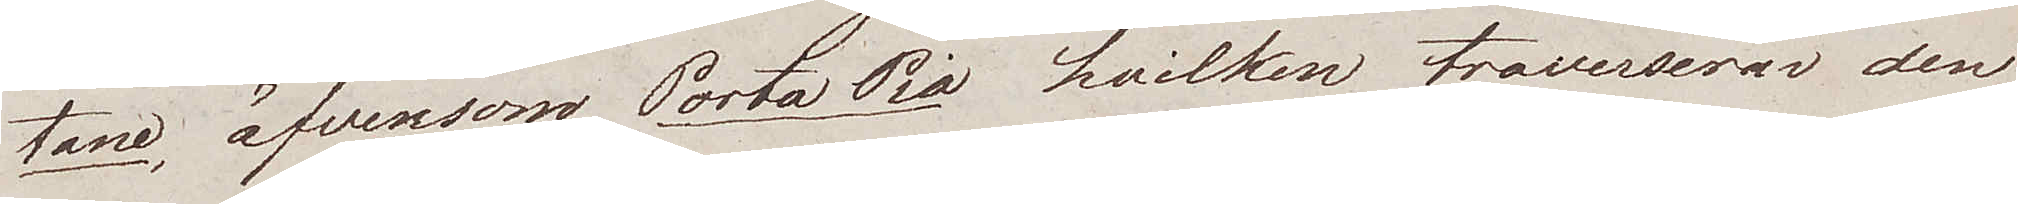tane, äfvensom Porta Pia hvilken traverserar den
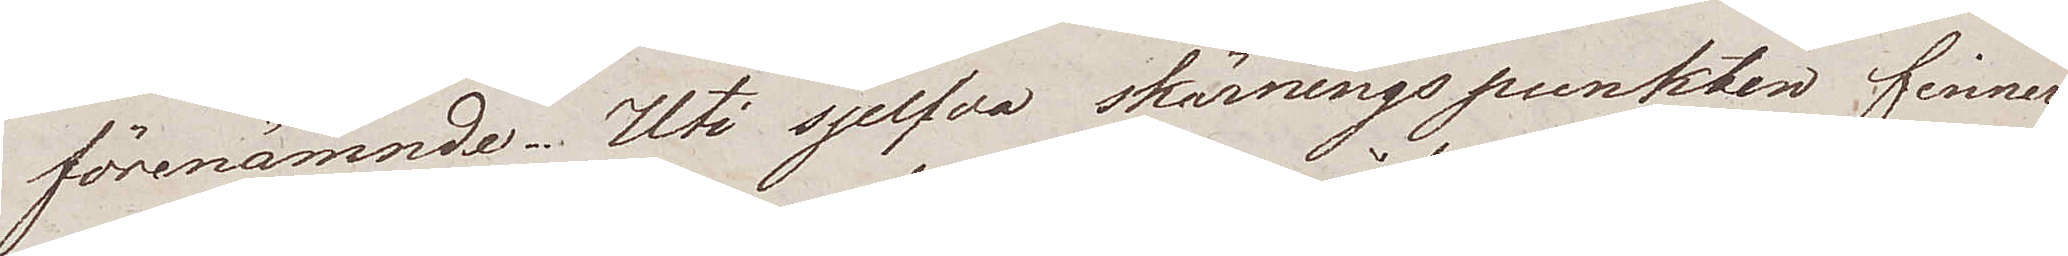förenämnde. Uti sjelfva skärningspunkten finner
